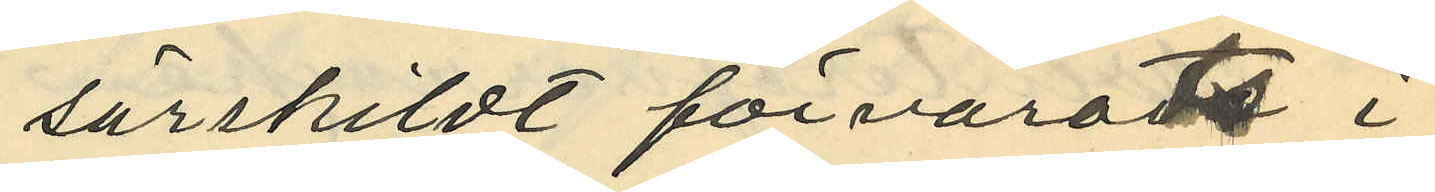särskildt förvarats i
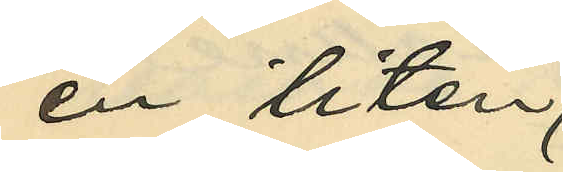en liten.
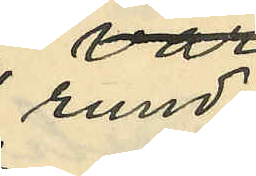rund
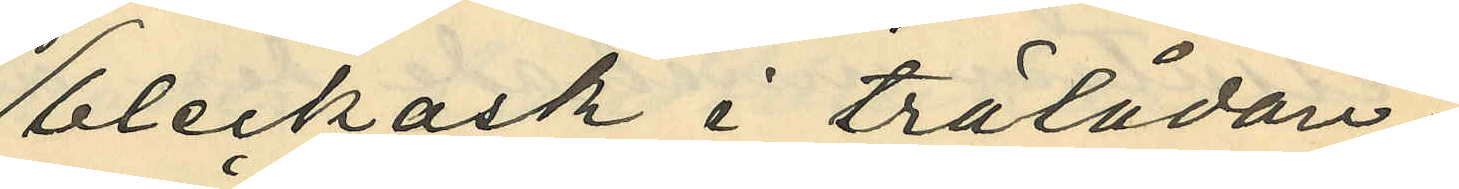bleckask i trälådan.
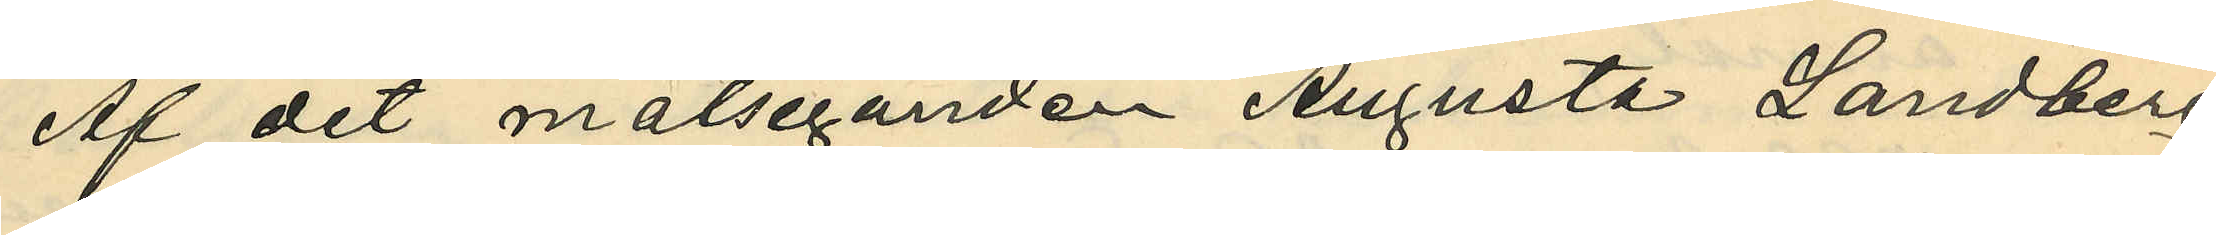Af det målseganden Augusta Landberg
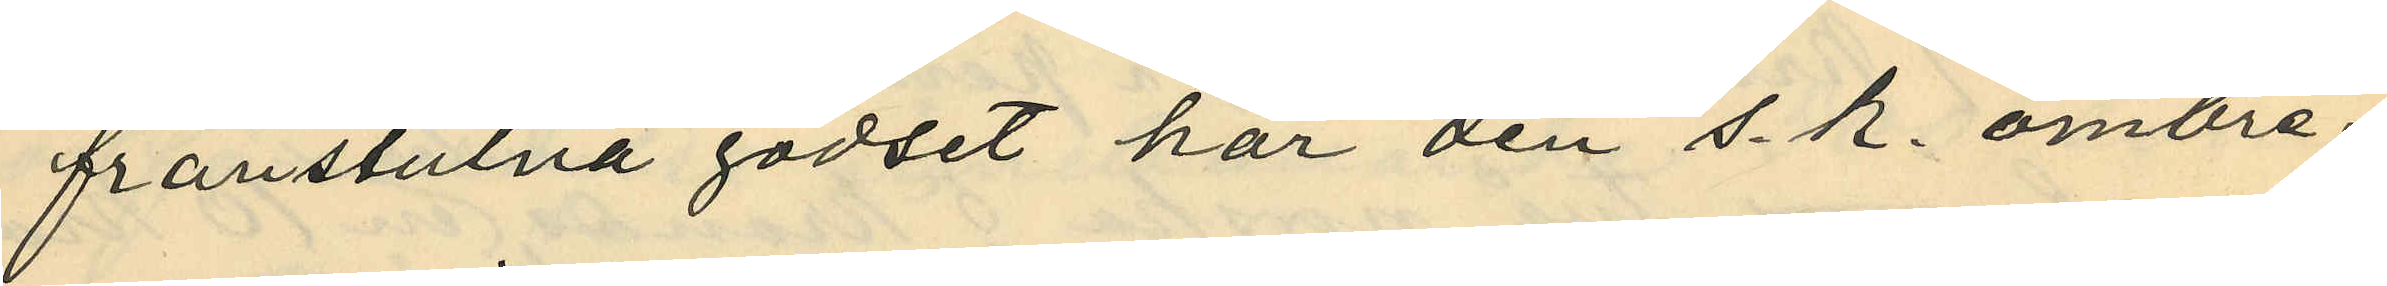frånstulna godset har den s. k. ombre¬
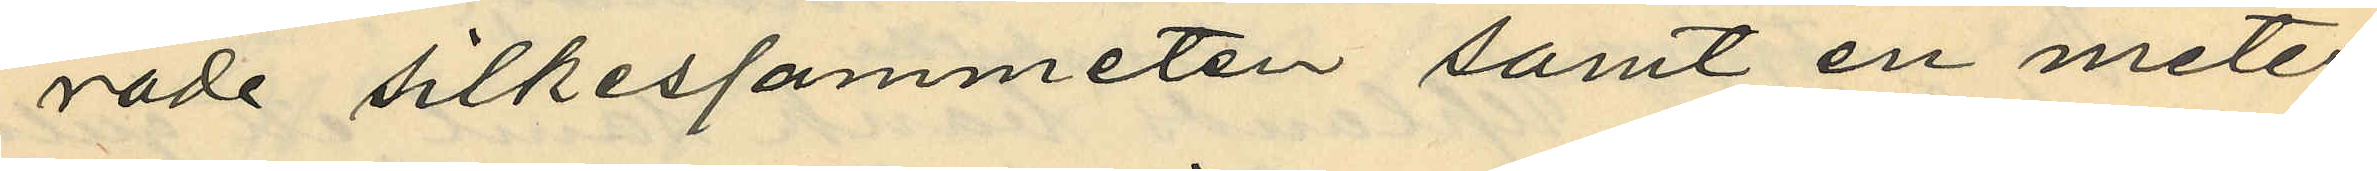rade silkessammeten samt en meter
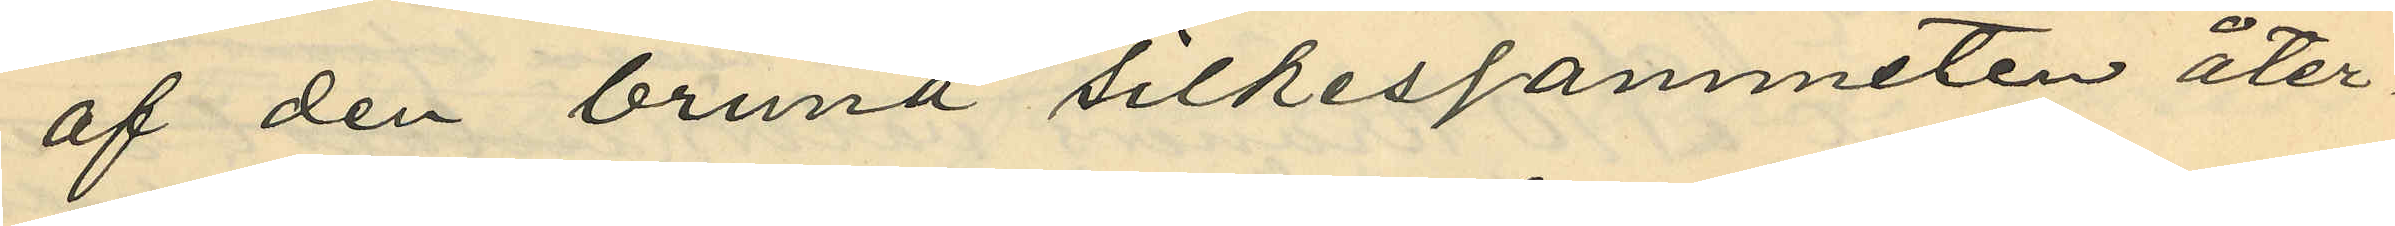af den bruna silkessammeten åter¬
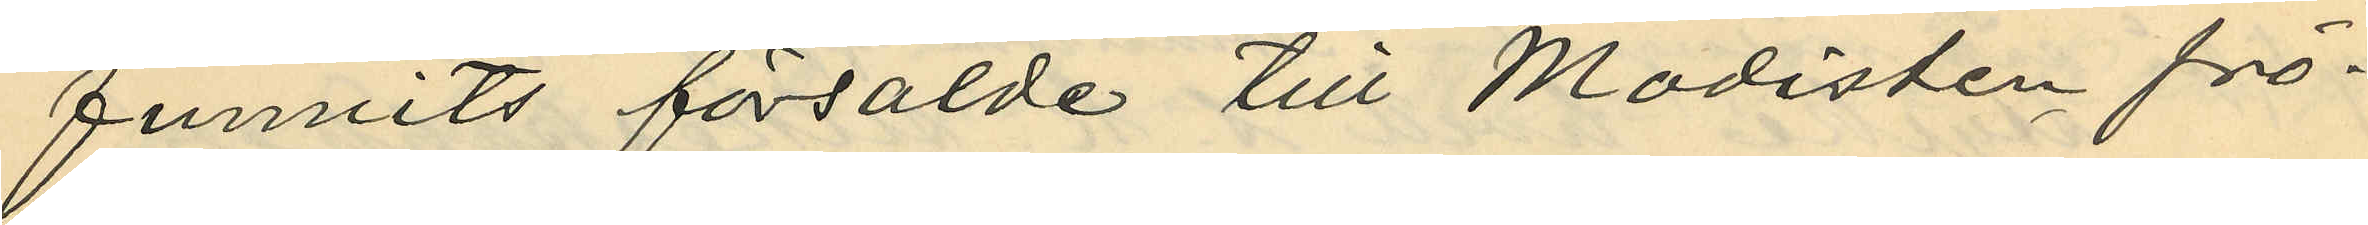funnits försålde till Modisten frö¬
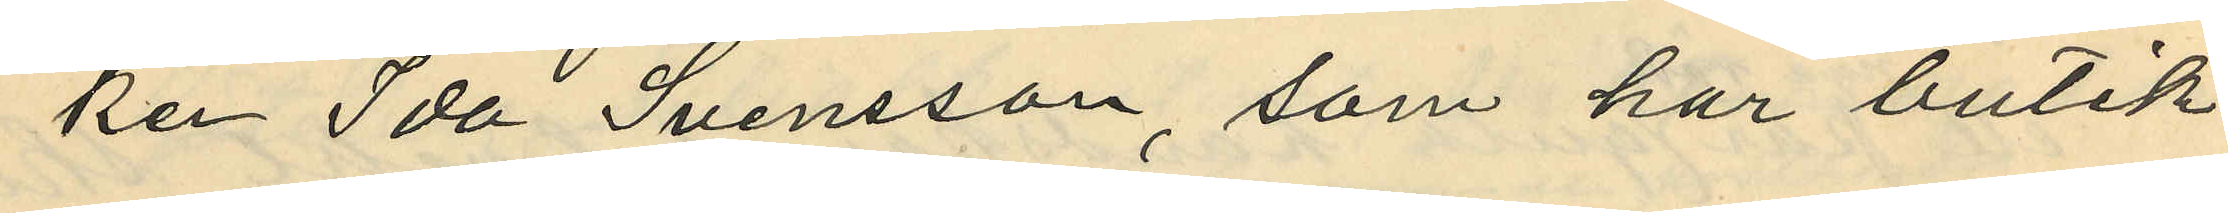ken Ida Svensson, som har butik
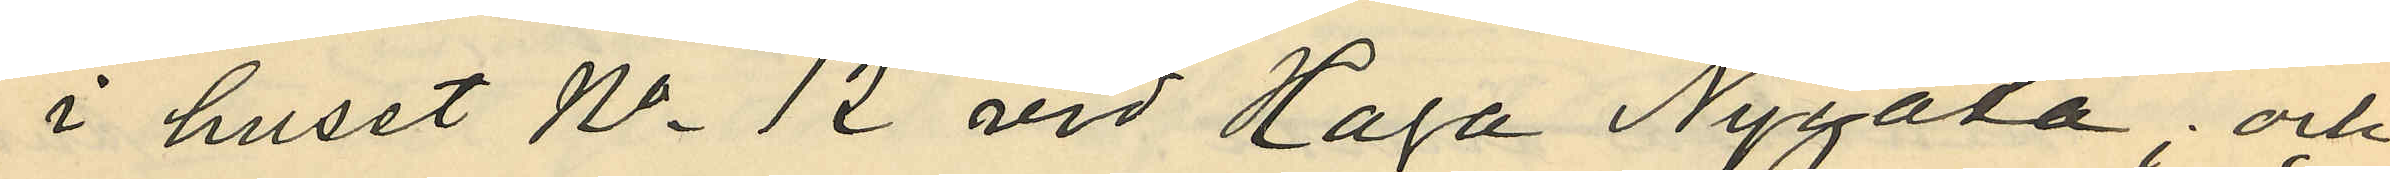i huset No 12 vid Haga Nygata; och
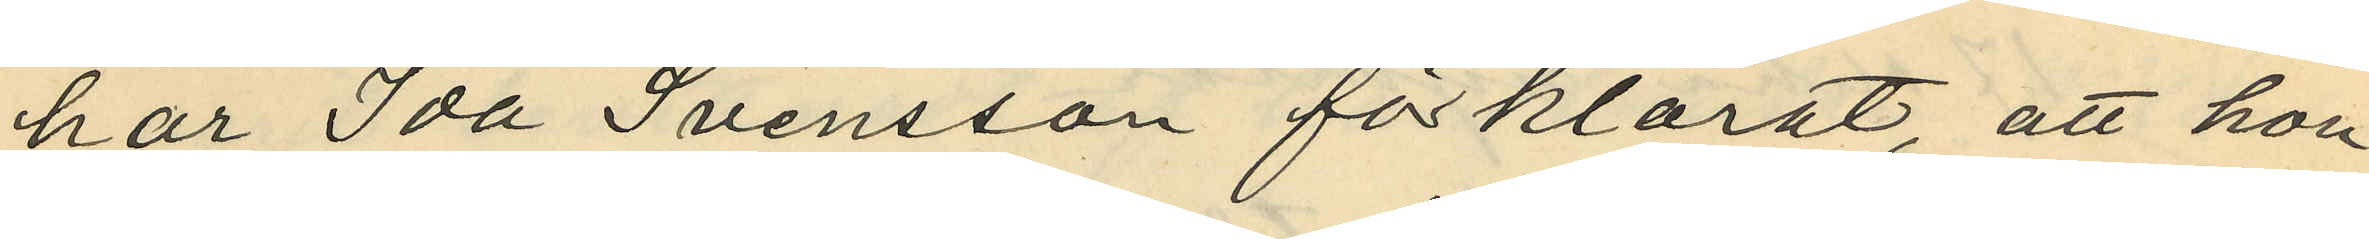har Ida Svensson förklarat att hon
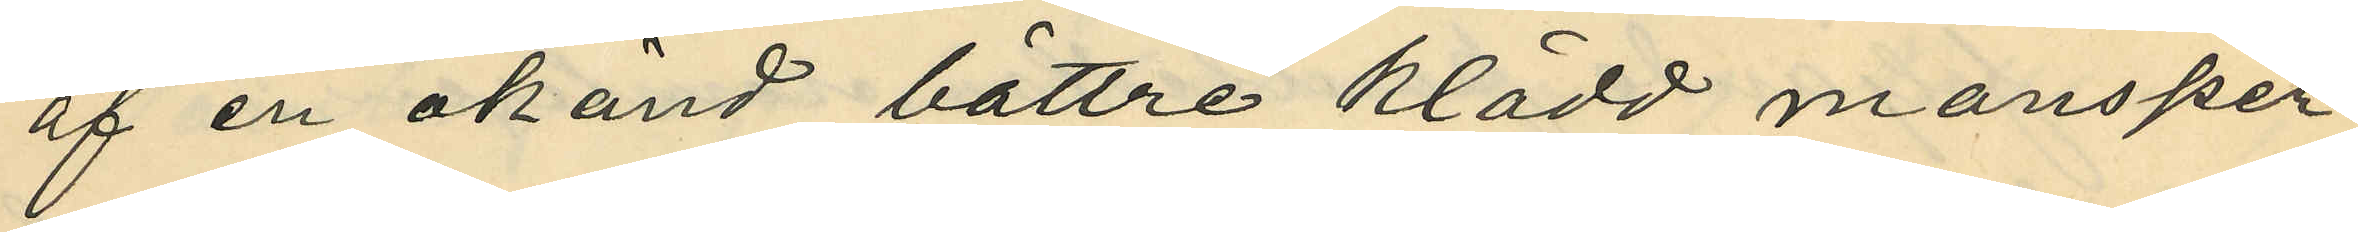af en okänd bättre klädd mansper¬
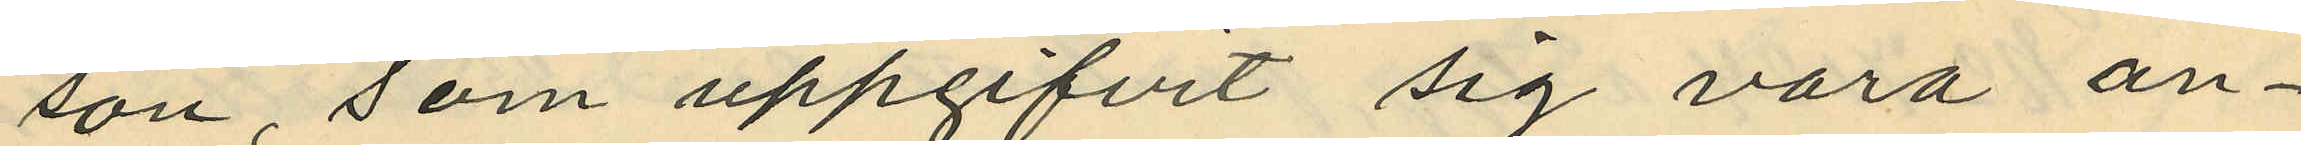son, som uppgifvit sig vara an¬
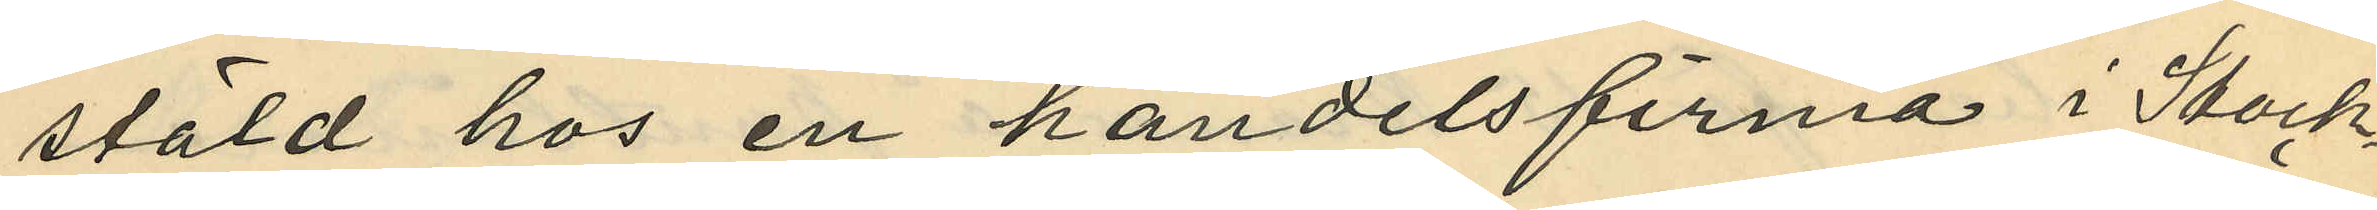stäld hos en handelsfirma i Stock¬
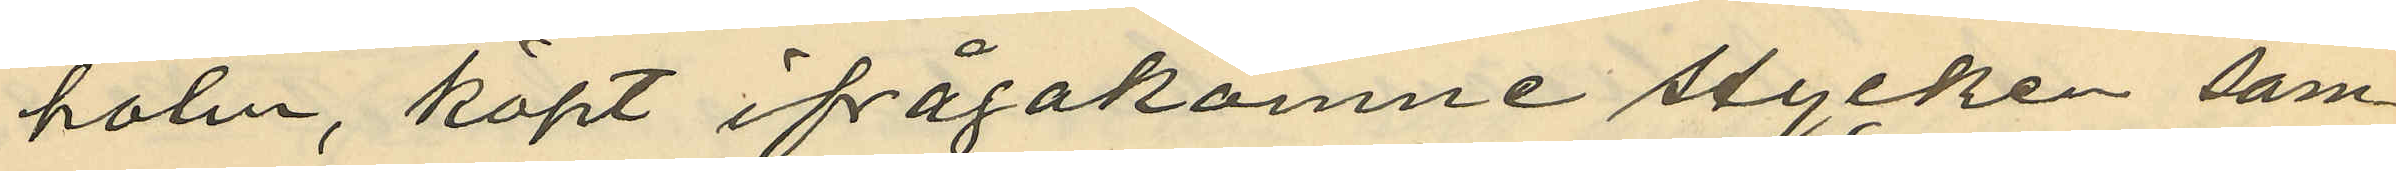holm, köpt ifrågakomne stycken sam¬
